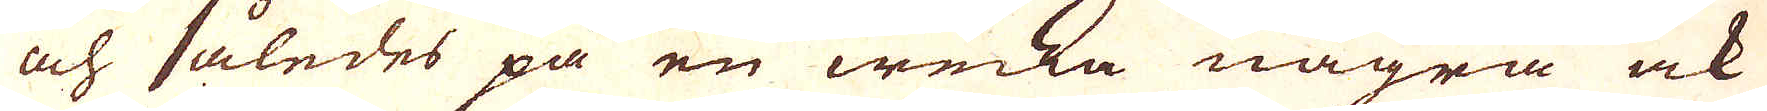och således på en wecka några ock
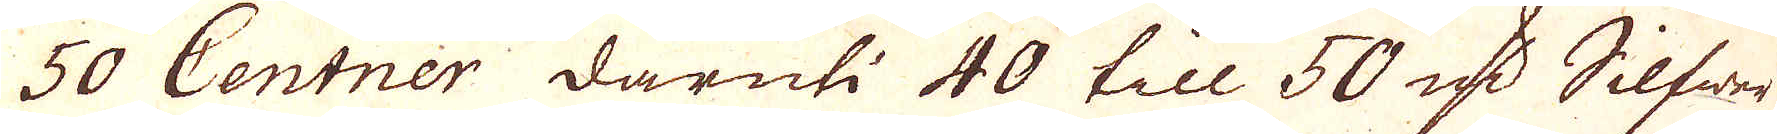50 Centner däruti 40 till 50 qv:r Silfwer
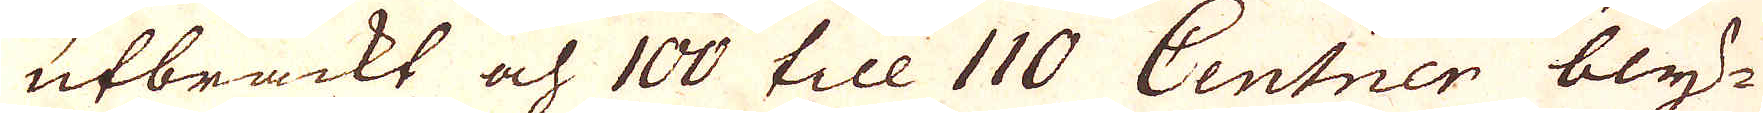utbrackt och 100 till 110 Centner bly-
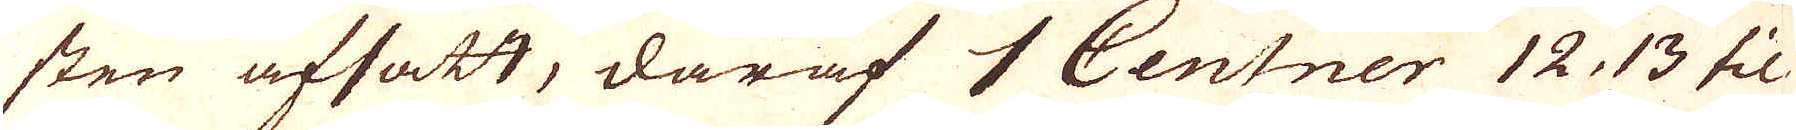sten afsatt, däraf 4 Centner 12, 13 til
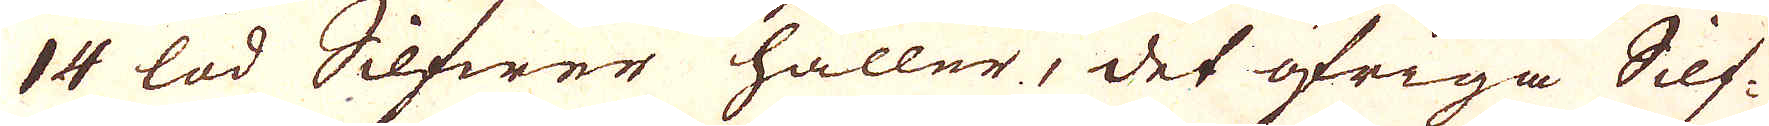14 lod Silfwer håller, det öfriga Silf-
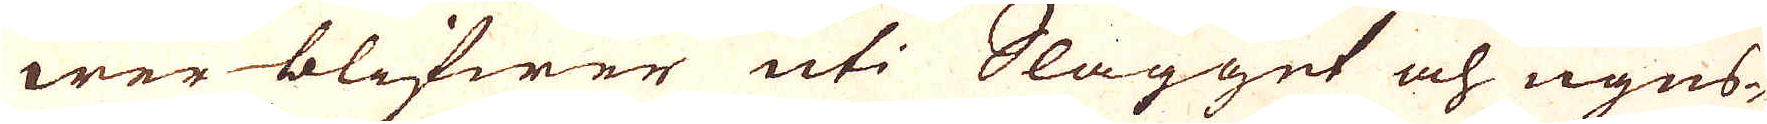wer blifwer uti Slagget och ugns-
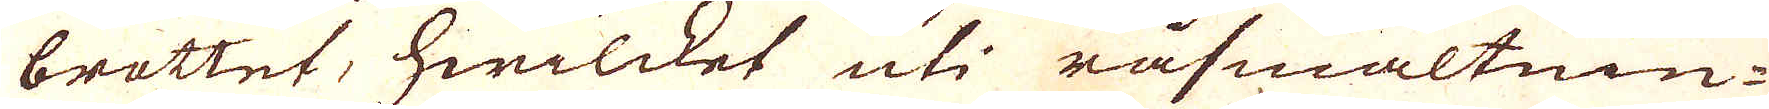brottet, hwilcket uti råsmältnin-
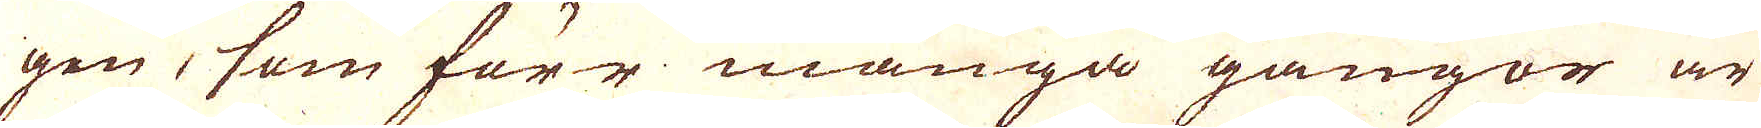gen, som förr många gångor är
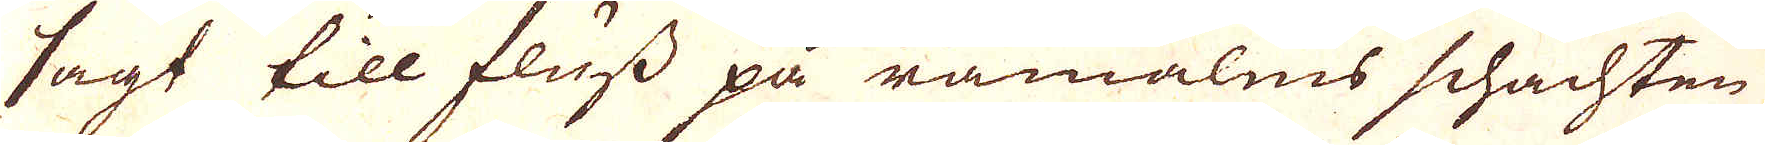sagt till fluss på råmalms schachten
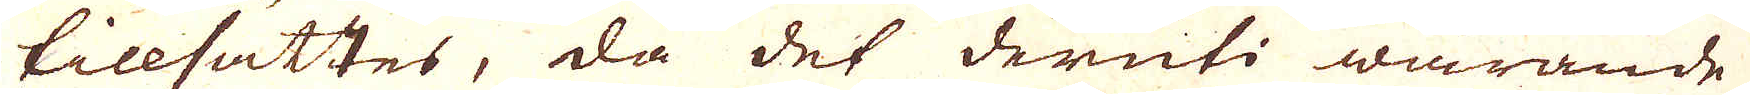tillsättes, då det deruti warande
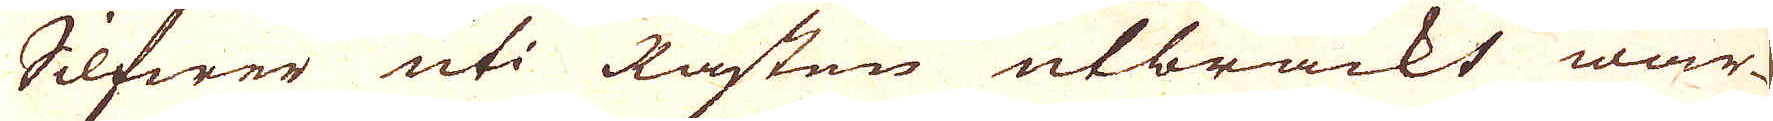Silfwer uti Råsten utbräckt war-
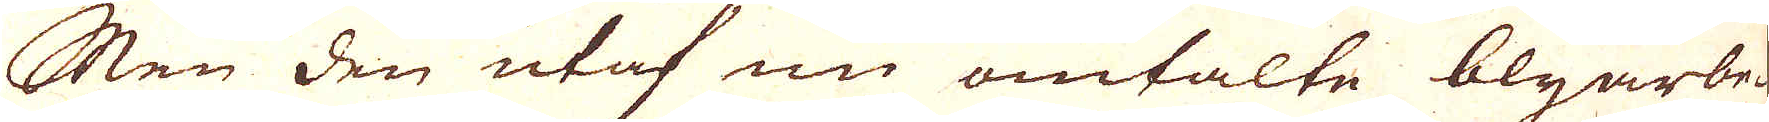Men den utaf nu omtalte blyarbe-
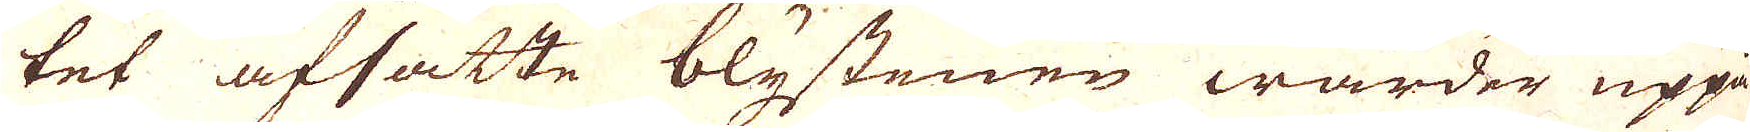tet afsatte blystenen warder uppå
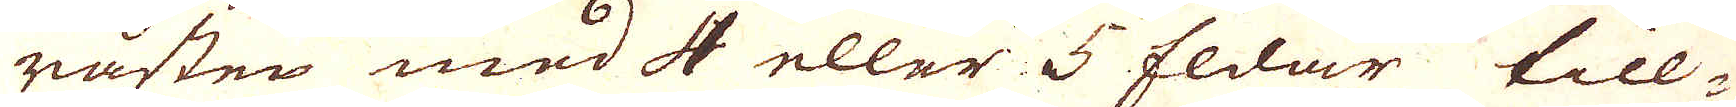råsten med 4 eller 5 Eldar till-
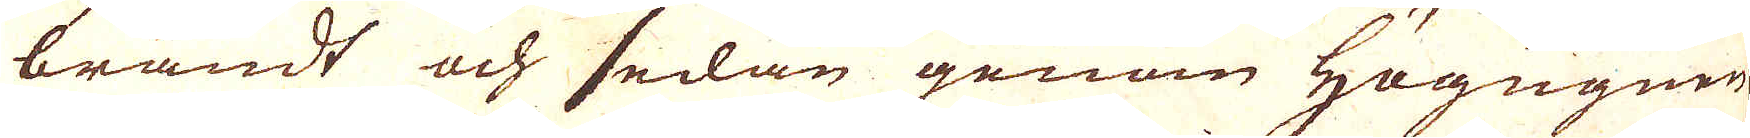brändt och sedan genom Högugnen
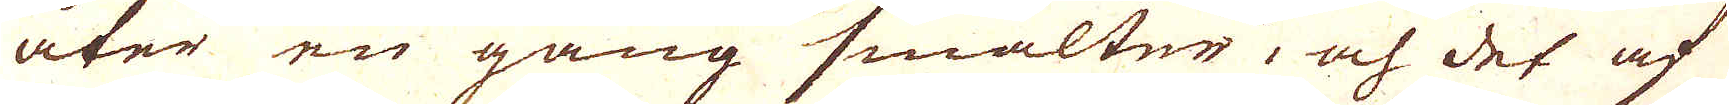åter en gång smälter, och det af
